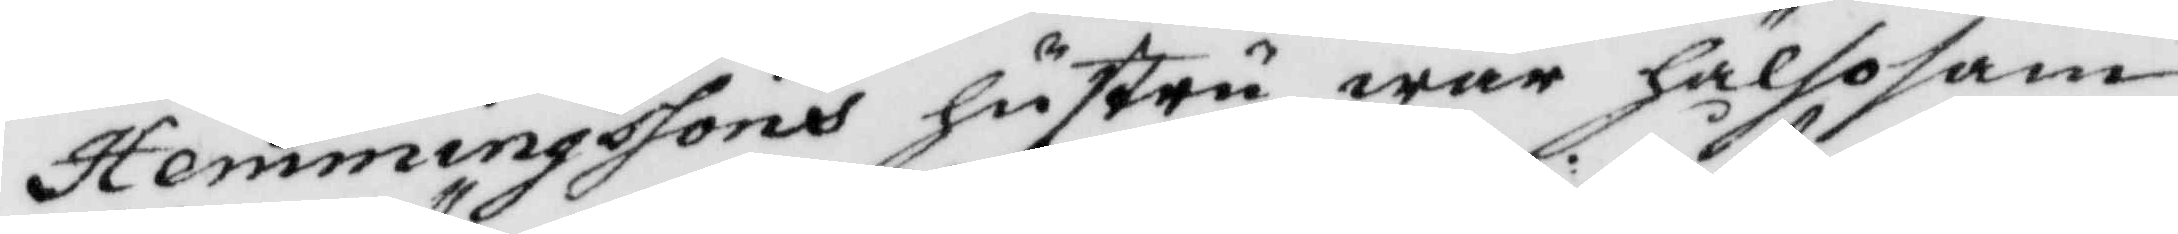Hemmingssons hsutru war hälsosam
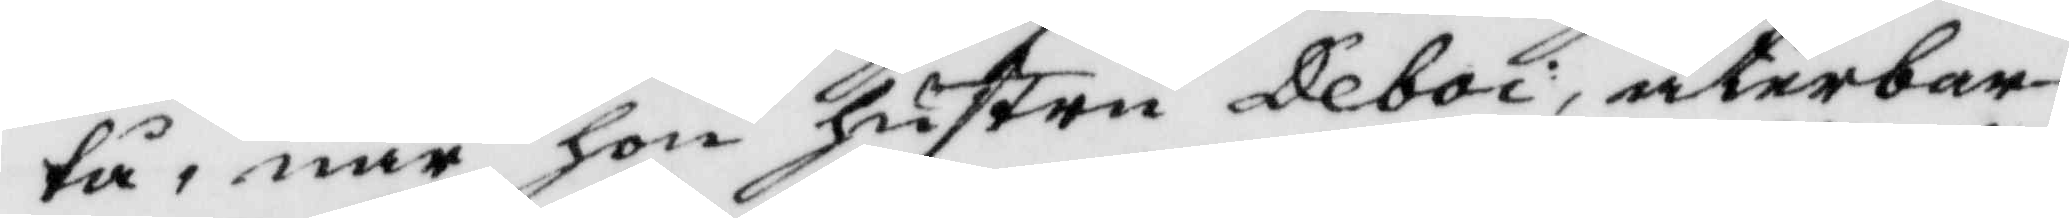tå, när hon hustru Deboi, återbar
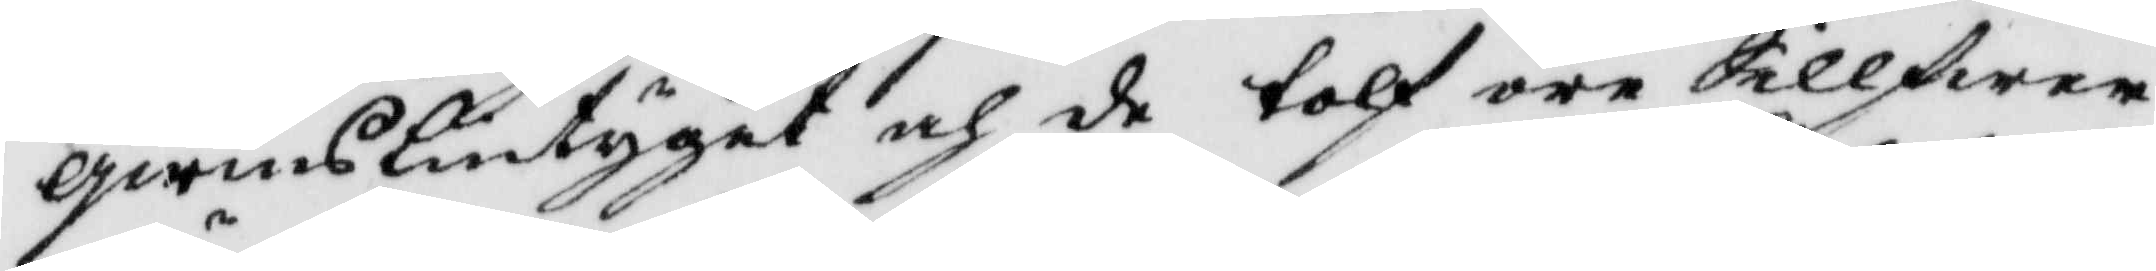qwinslintyget och de tolf öre Sillfwer¬
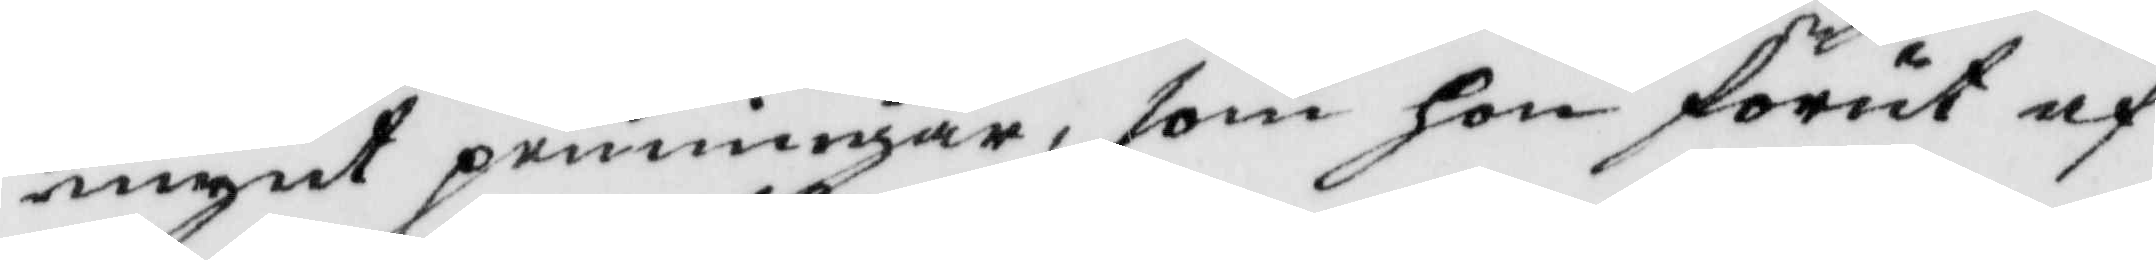mynt penninar, som hon förut af
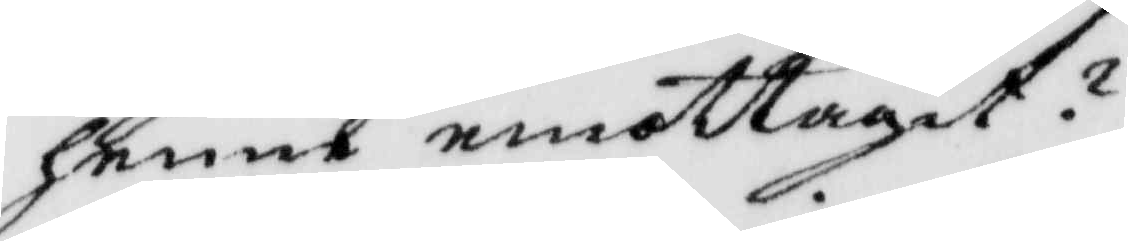henne emottagit?
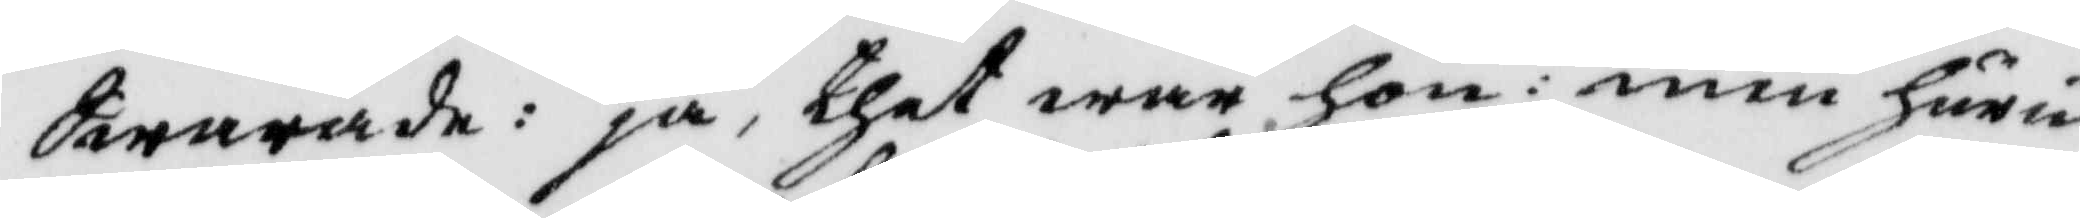Swarade: ja, thet war hon: men huru
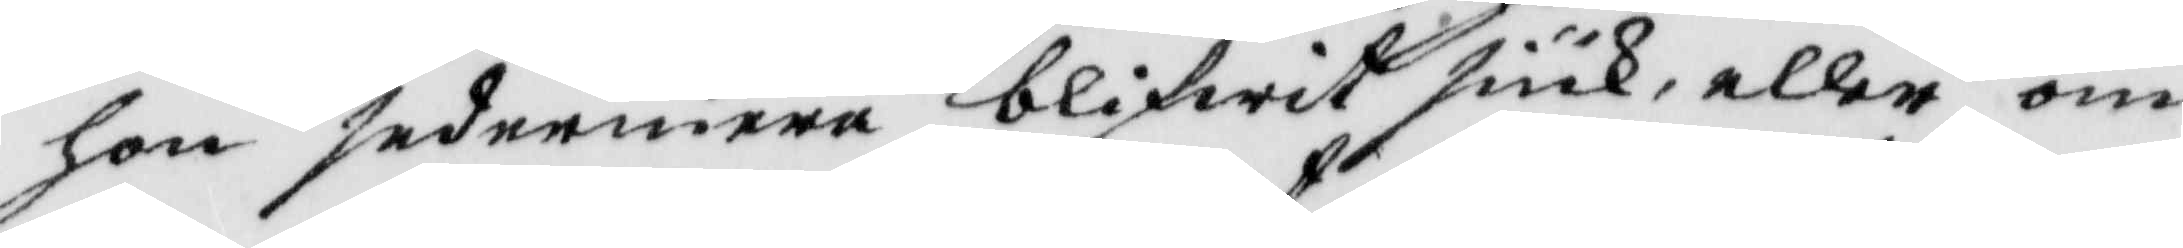hon sedermera blifwit siuk, eller om
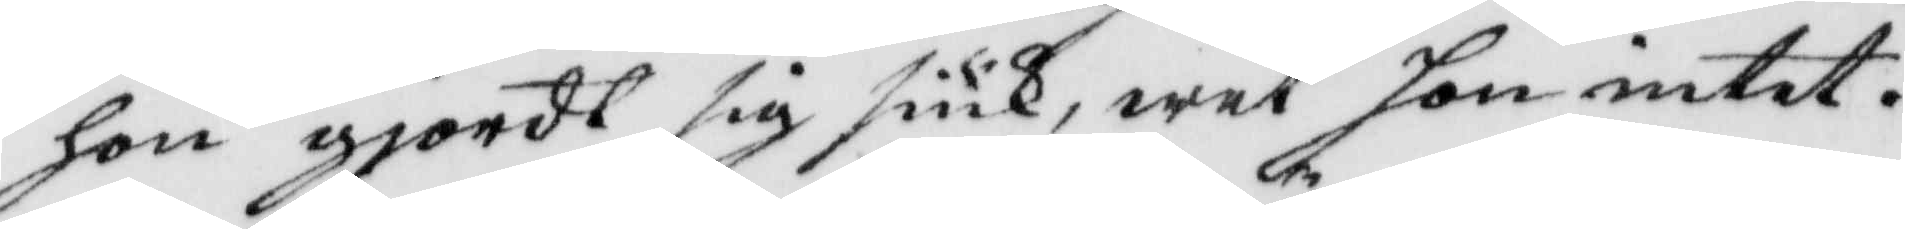hon gjordt sig siuk, wet hon intet.
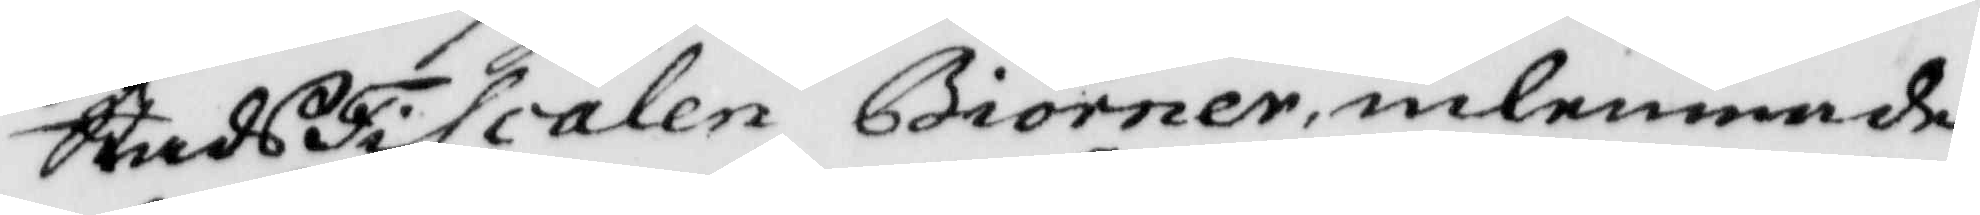StadsFiscalen Biörner, inlemnade
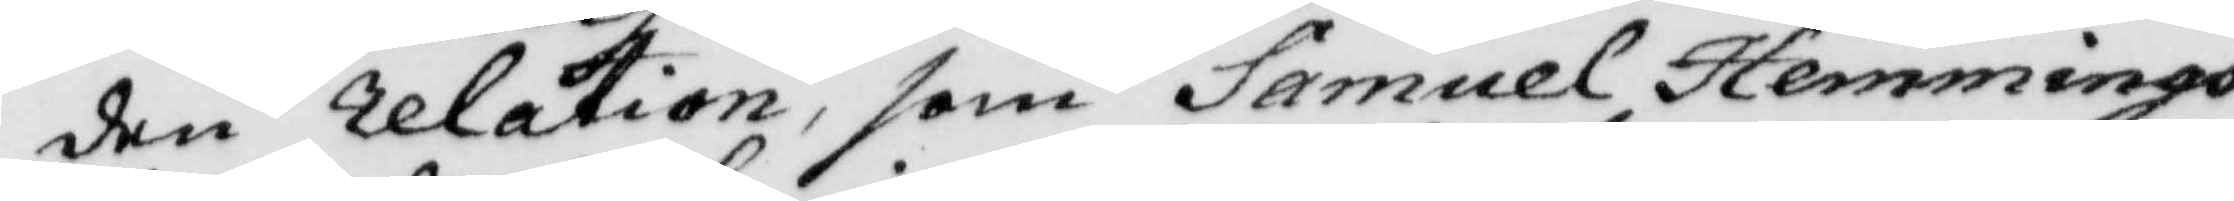den relation, som Samuel Hemmings¬
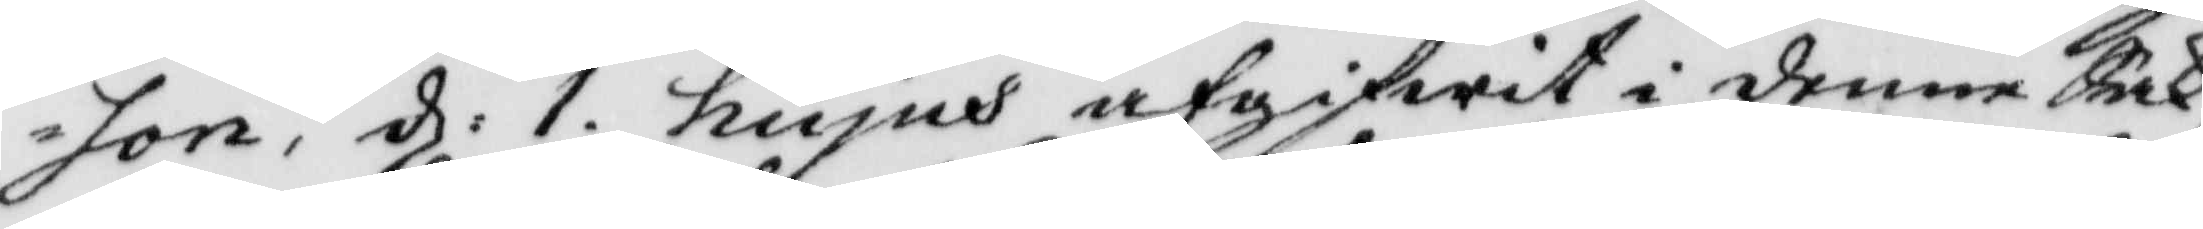son, d: 1 hujus afgifwit i denne Sak,
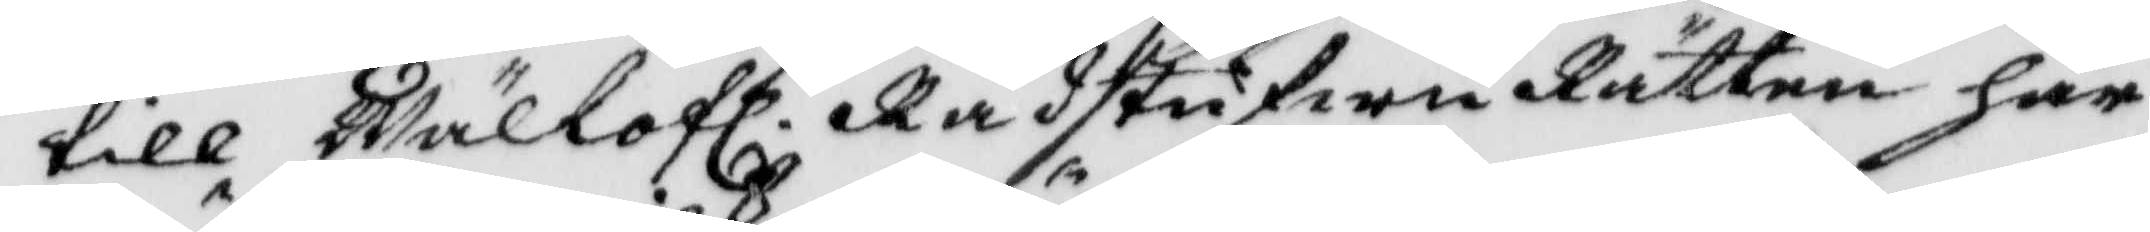till Wällofl. Rådstufwu Rätten här¬
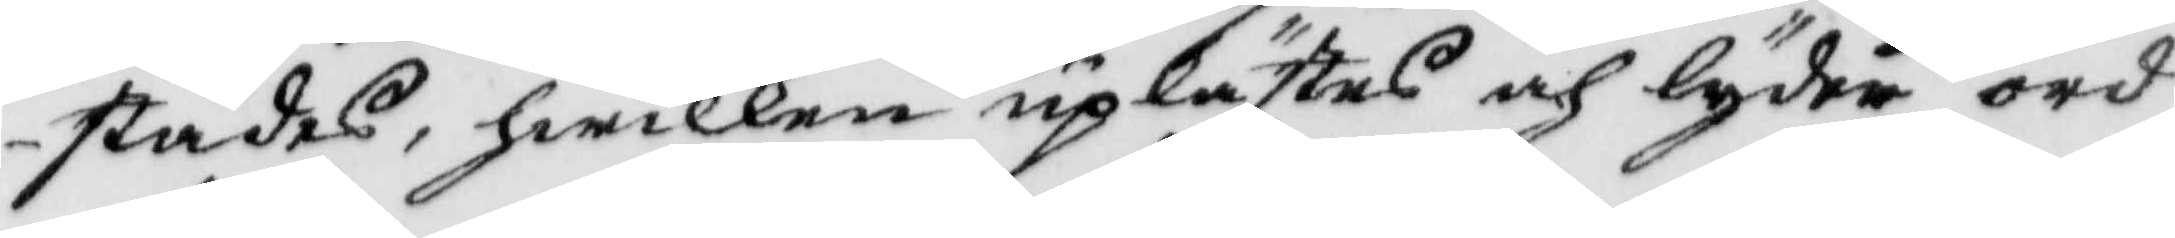städes, hwilken uplästes och lyder ord
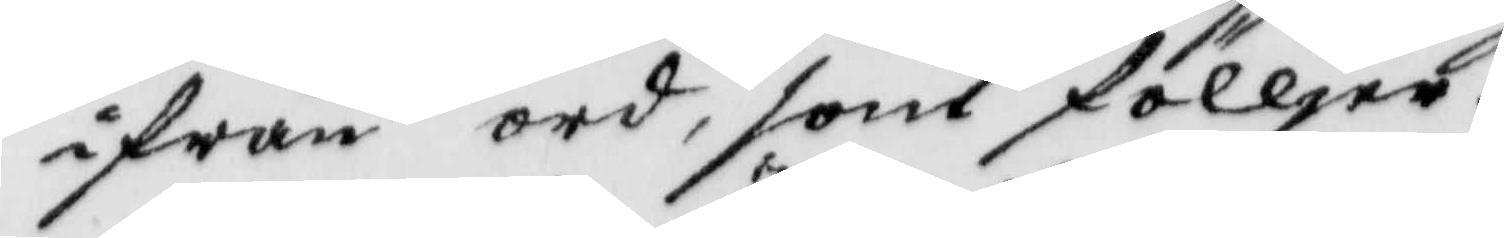ifrån ord, som fölljer.
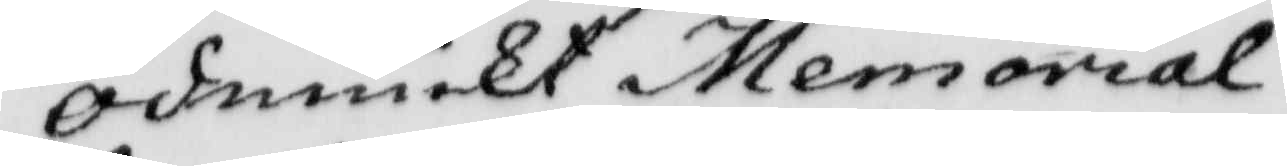Ödmiukt Memorial.
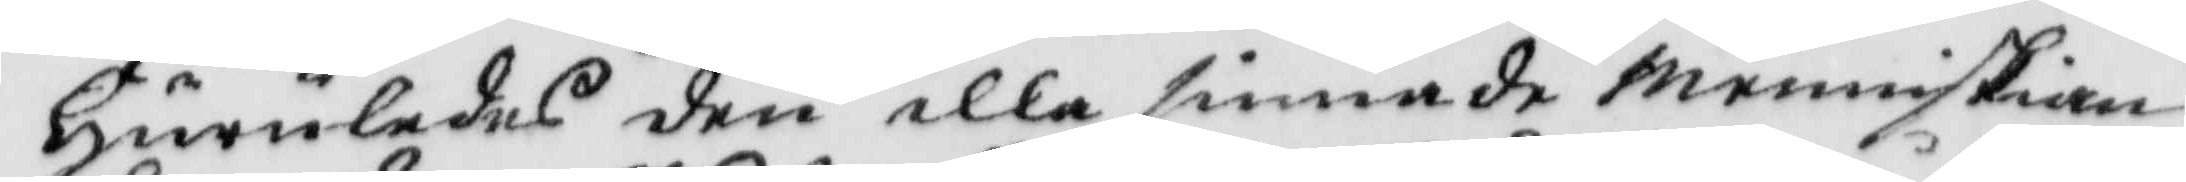huruledes den illa sinnade menniskian
